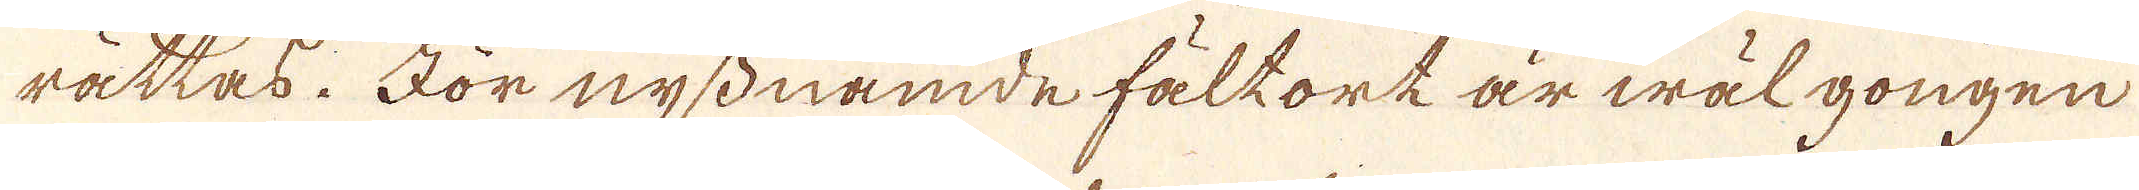rättas: För nyss nämde fältort är wäl gongen
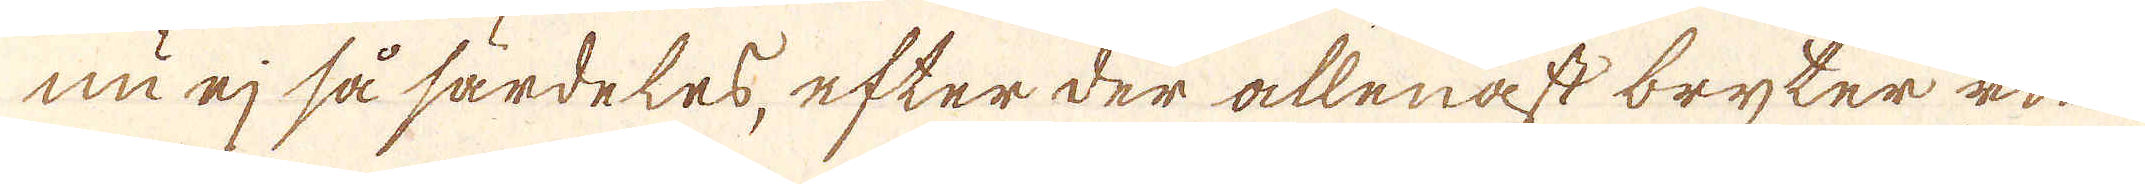nu ej så särdeles, efter der allenast bryter rin-
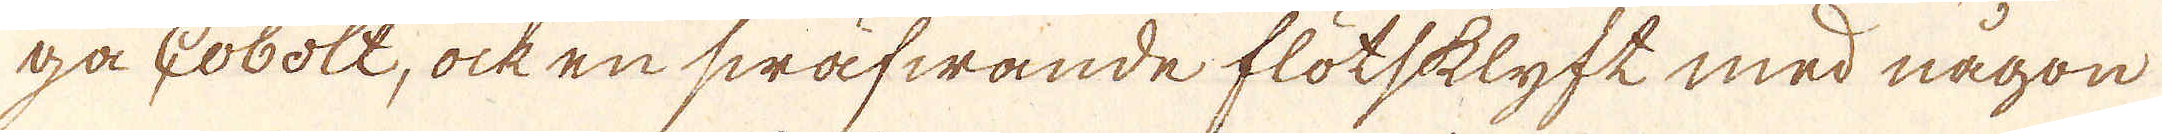ga Cobolt, ock en swäfwande flötsklyft med någon
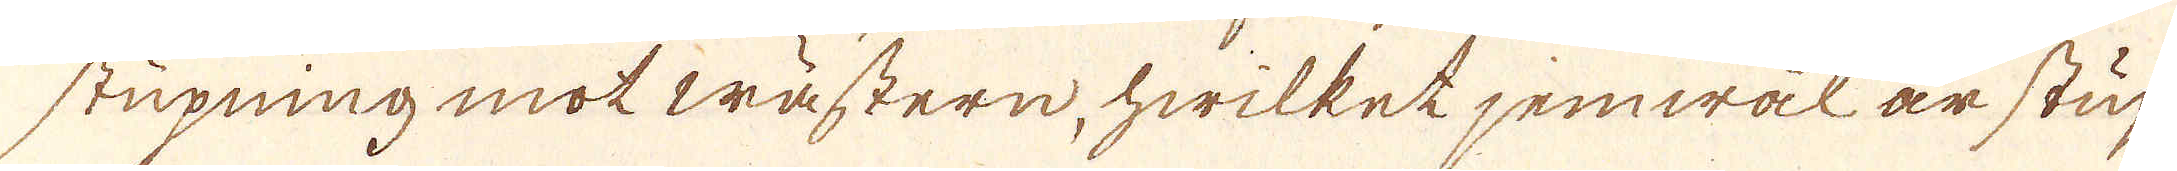stupning mot wästern, hwilket jemwäl är stup-
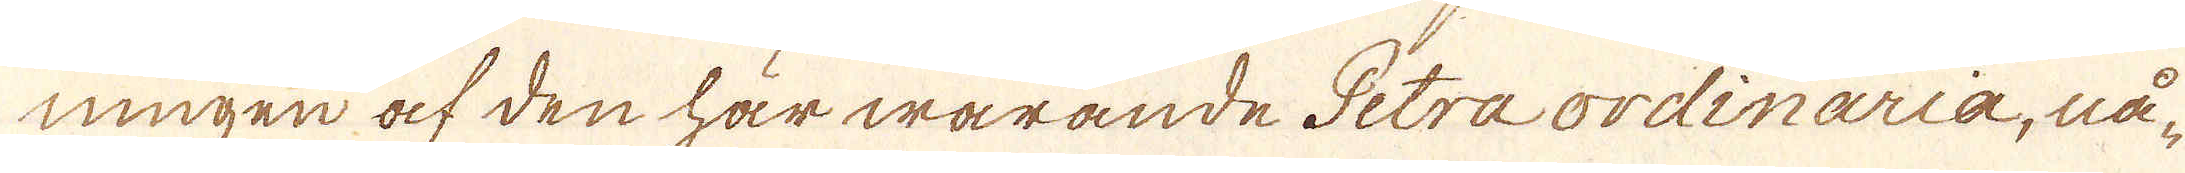ningen af den här warande Petra ordinaria, nå-
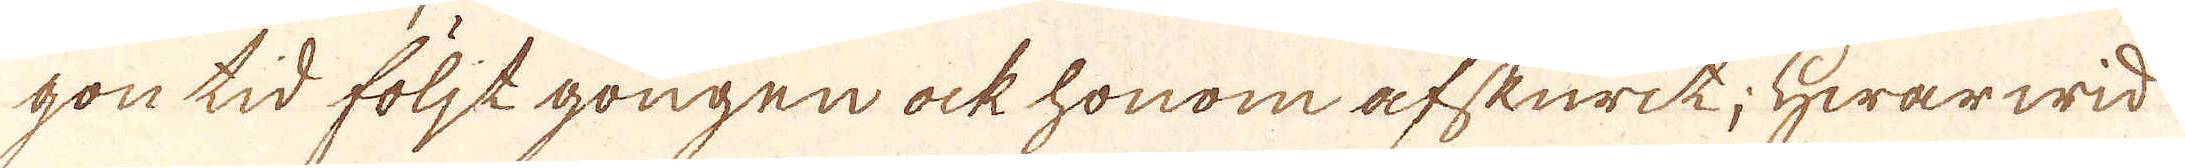gon tid följt gongen ock honom afskurit; Hwarwid
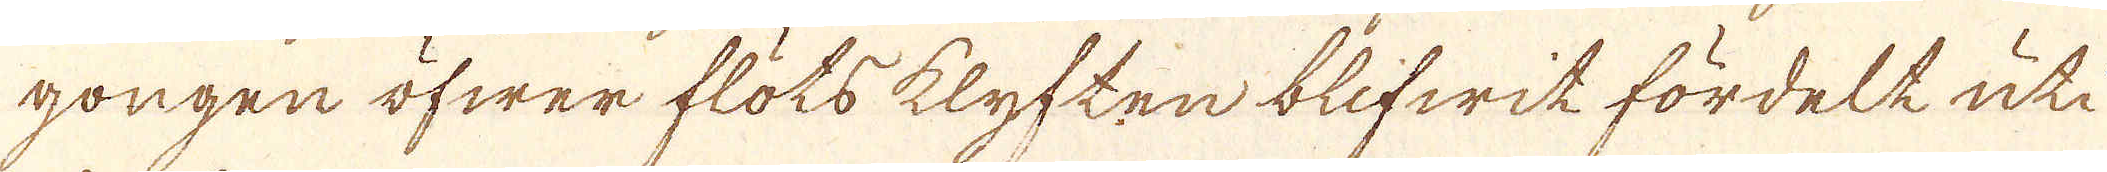gongen öfwer flöts klyften blifwit fördelt uti
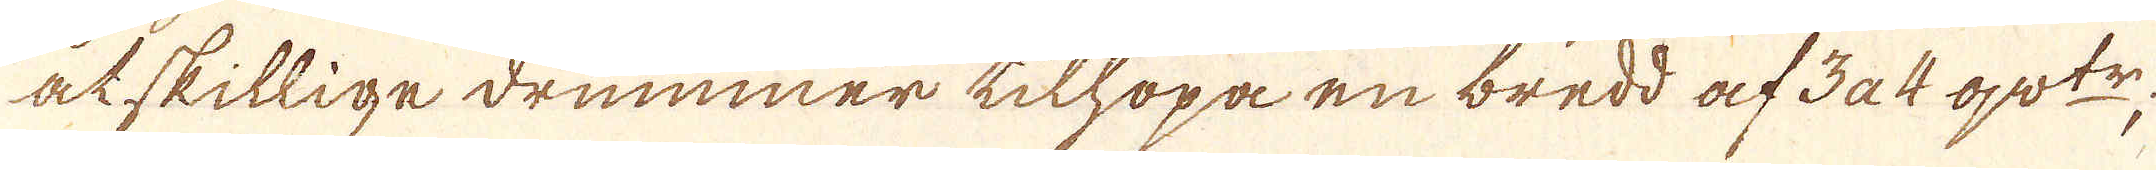atskillige drummer tilhopa en bredd af 3 a 4 qw:tr;
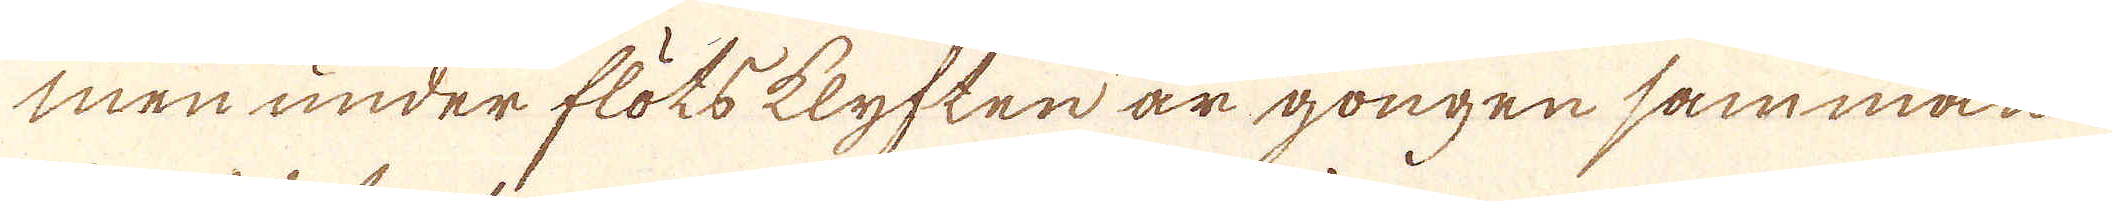men under flöts klyften är gongen samman-
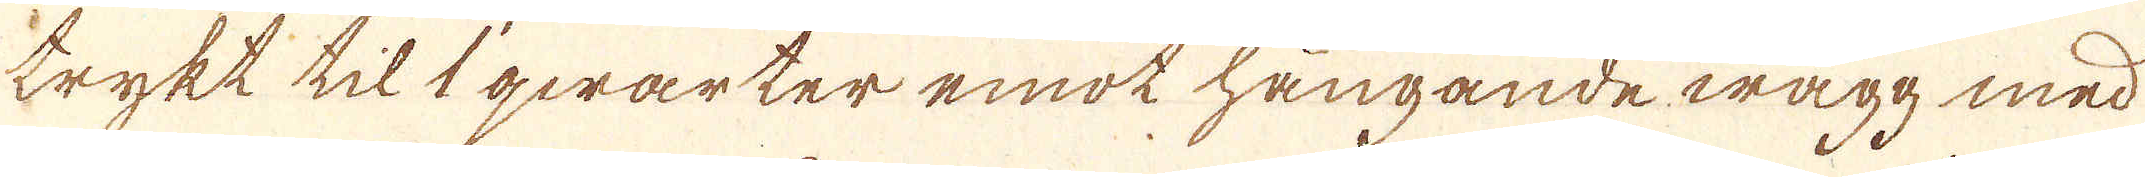trykt til 1 qwarter emot hängande wägg med
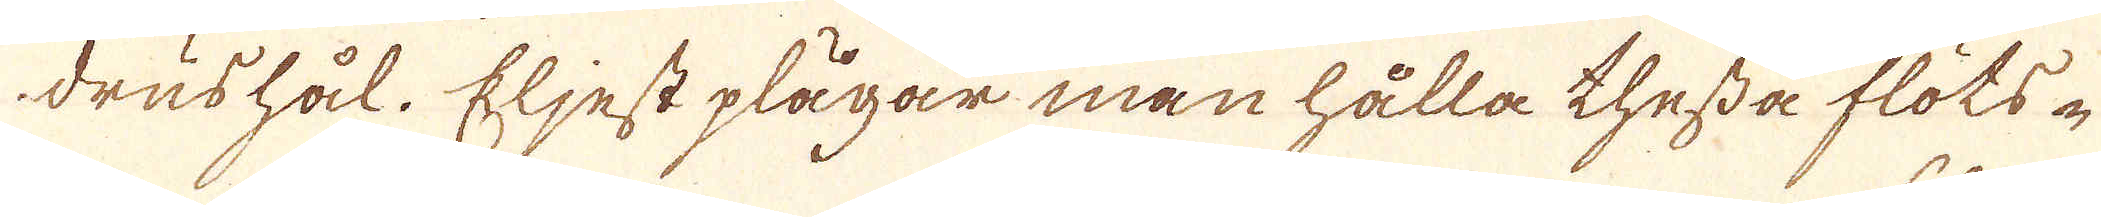drushål. Eljest plägar man hålla thessa flöts-
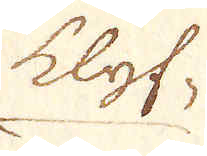klyf-
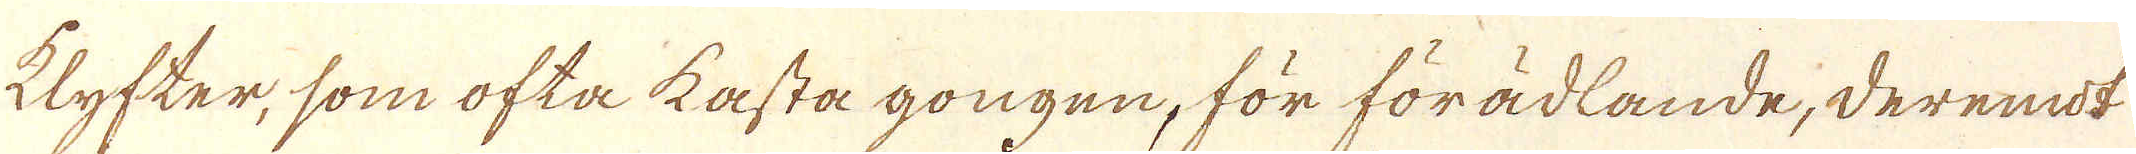klyfter, som ofta kasta gongen, för förädlande, deremot
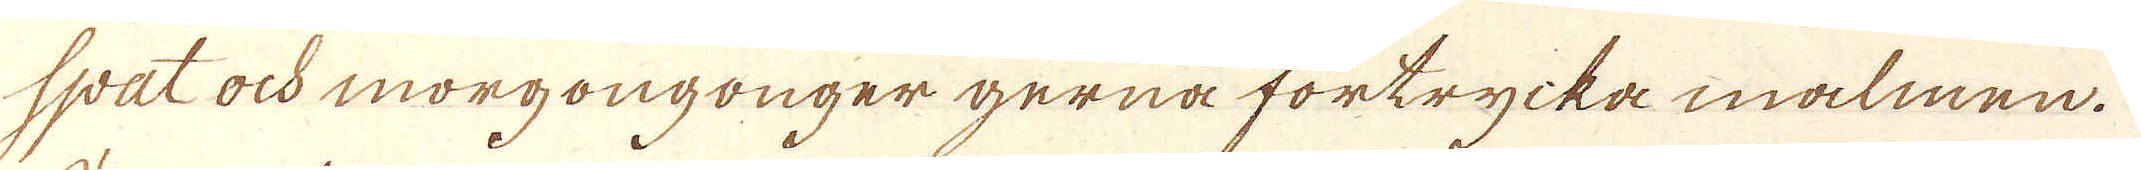spat ock morgongonger gerna förtrycka malmen.
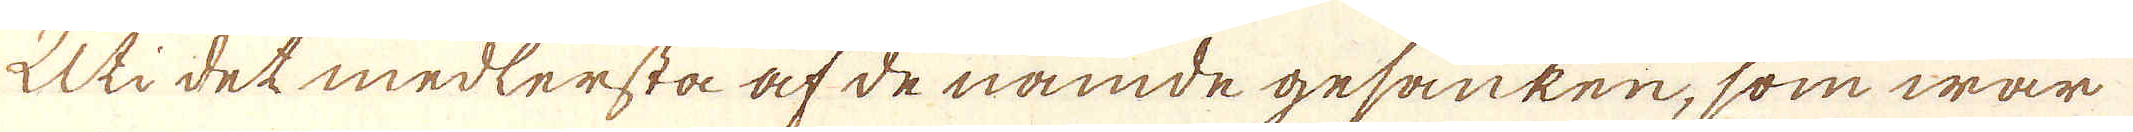Uti det medlersta af de nämde gesänken, som war
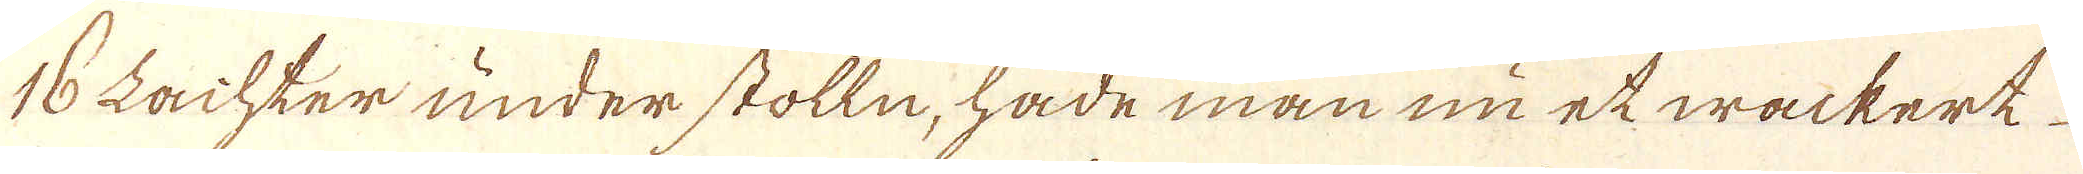16 Lachter under stolln, hade man nu et wackerk
